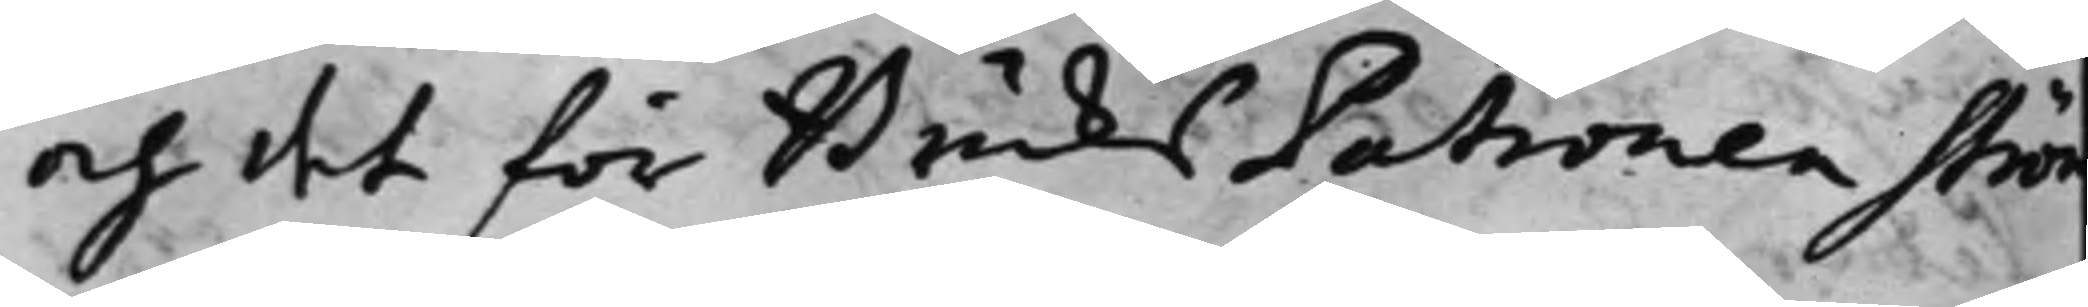och det för BruksPatronen Ström
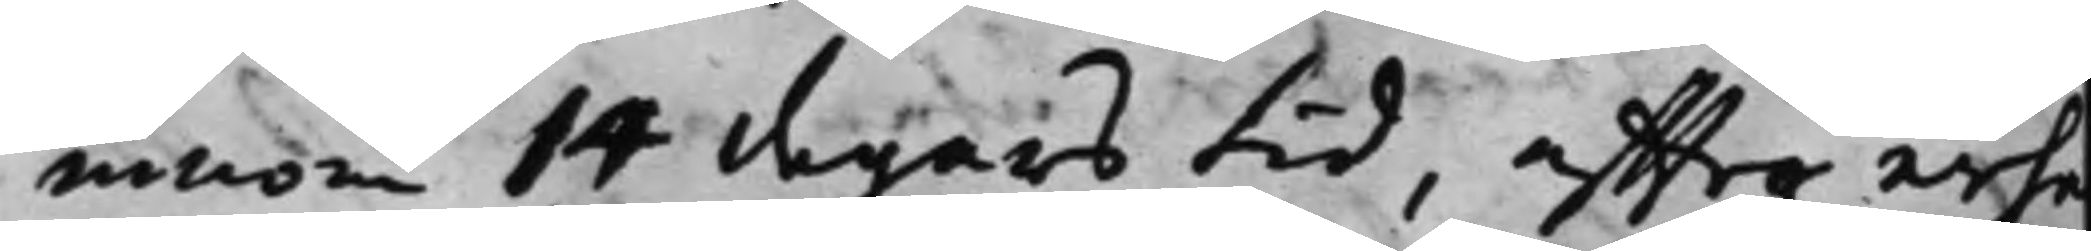innom 14 dagars tid, effter erh¬
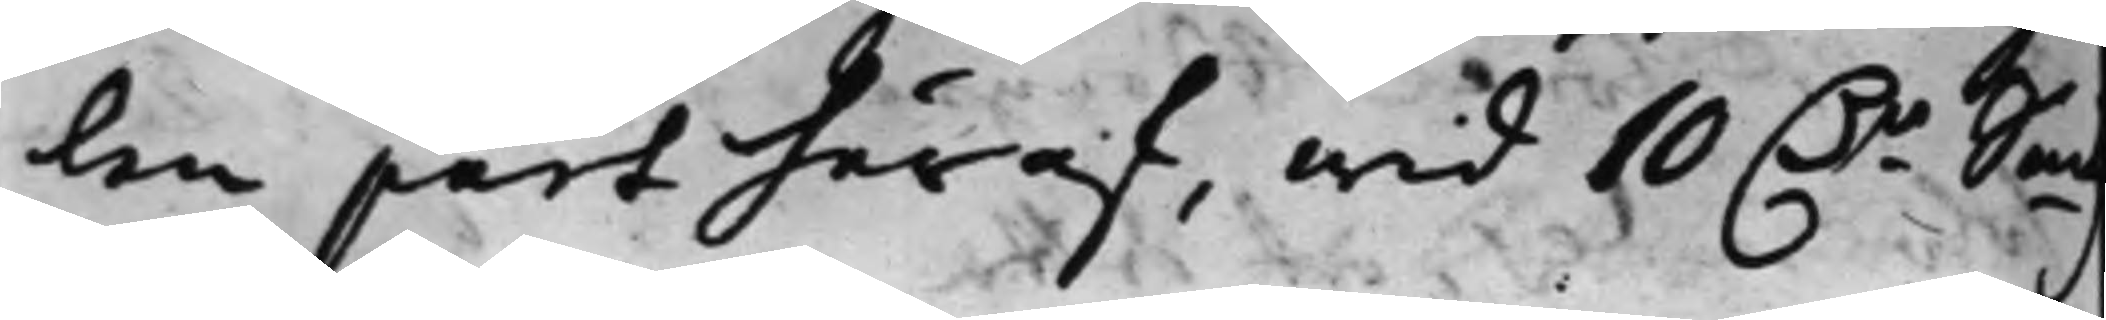len part häraf, wid 10 D.r Sm
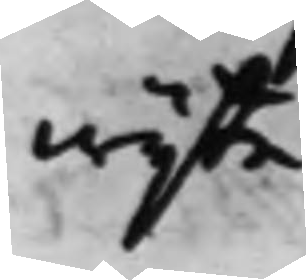wijte.
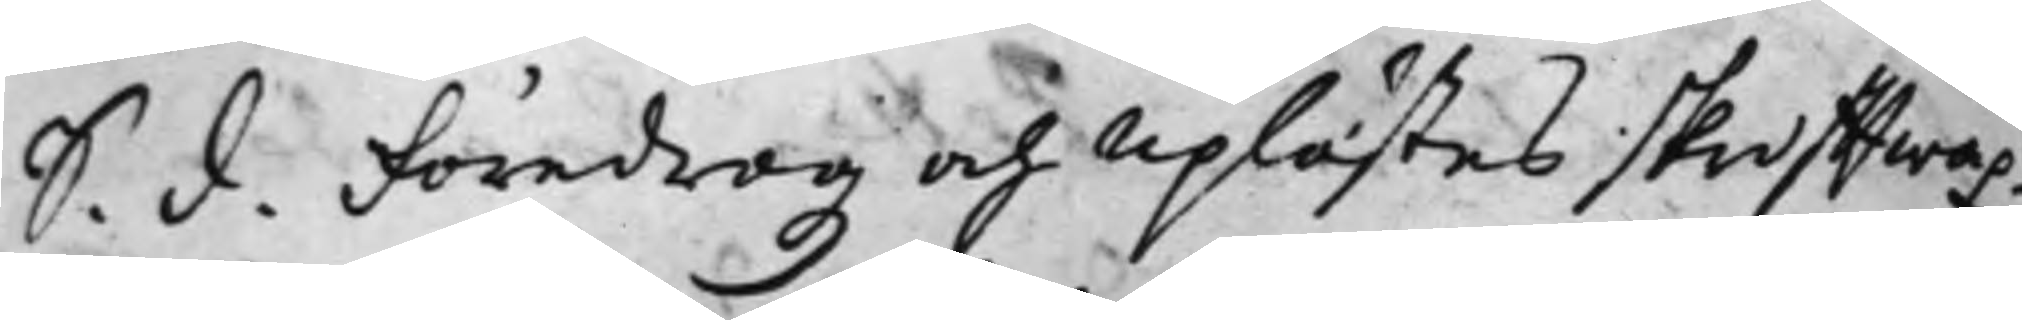S. d. Föredrogz och Uplästes skrifftwäx¬
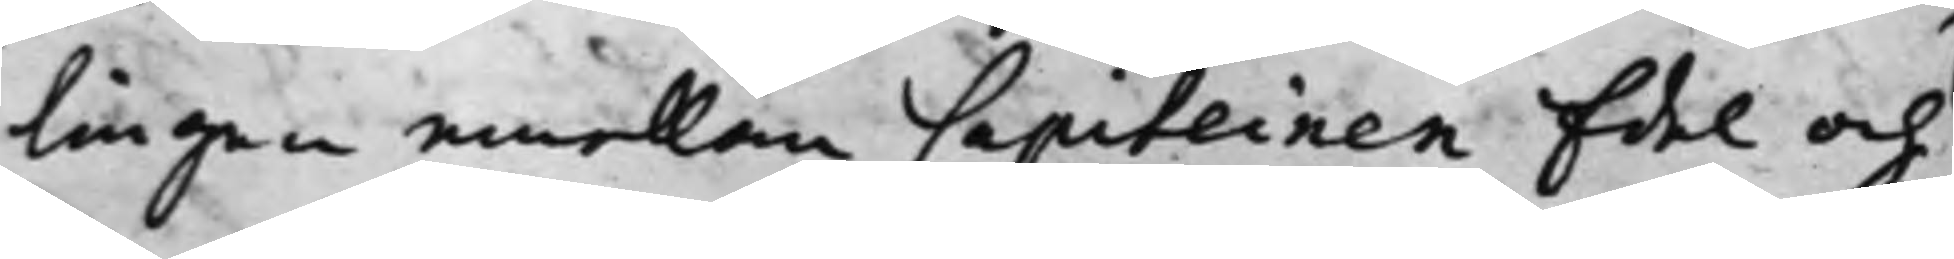lingen emellan Capiteinen Edel och
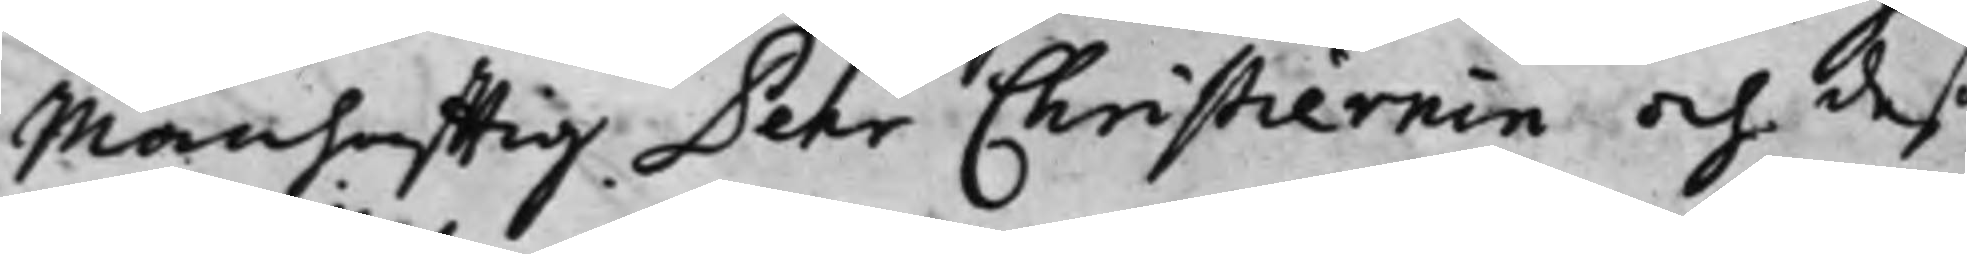Manhafftig Pehr Christiernin och deß
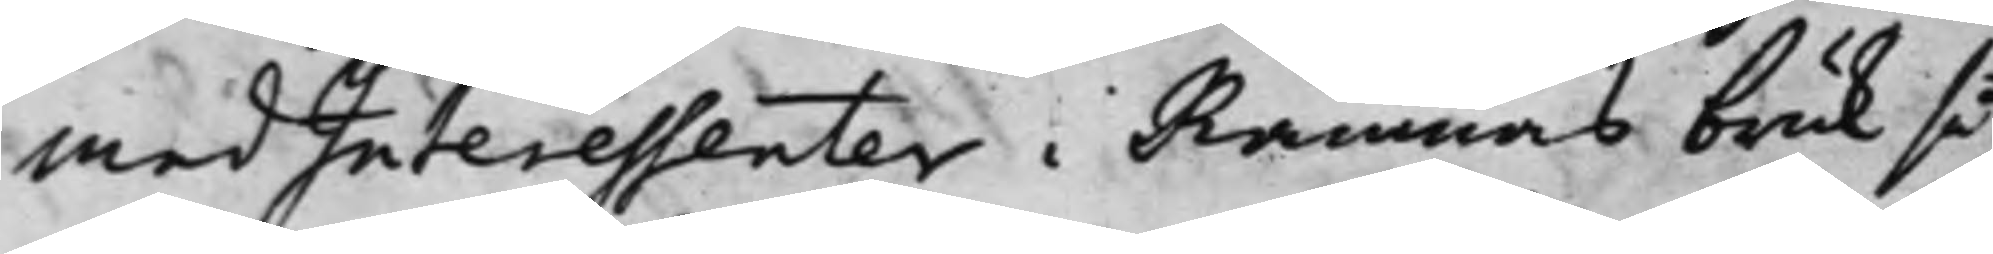medInteressenter i Ramnäs bruk så
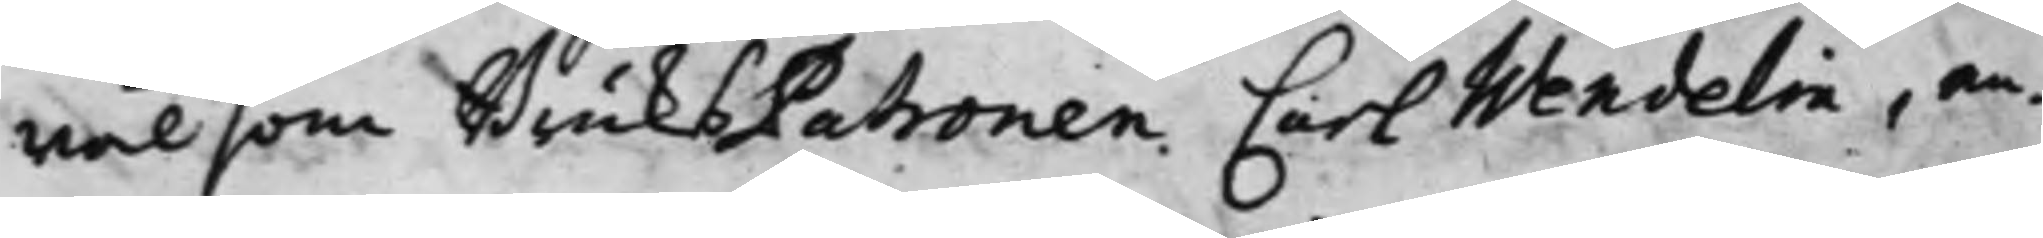wäl som BruksPatronen Carl Wendelin, an¬
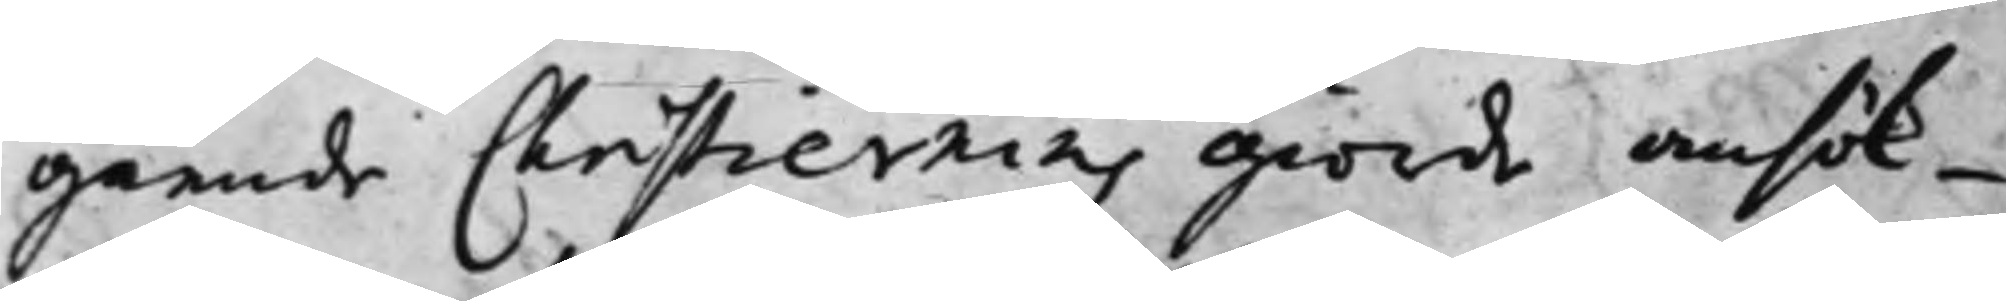gående Christiernins giorde ansök¬
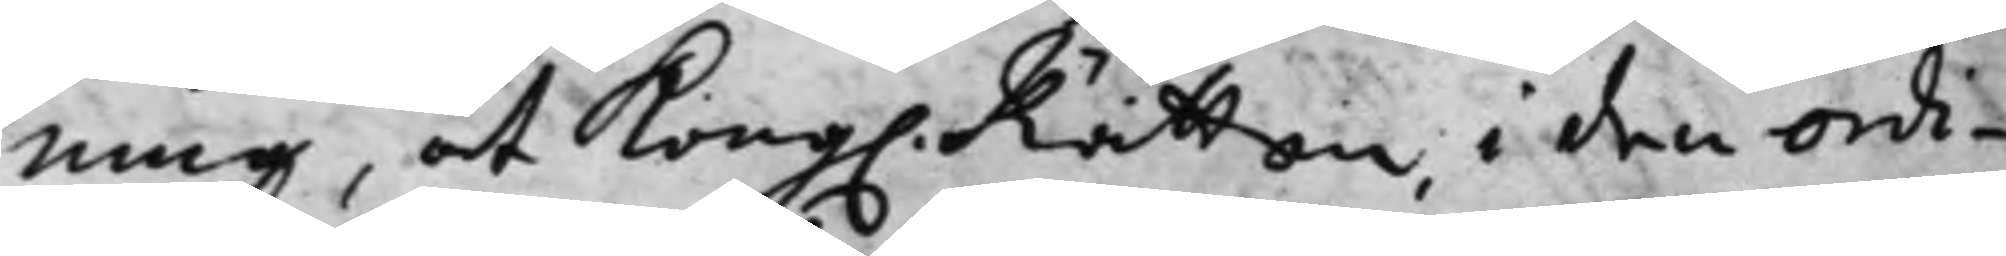ning, at Kong. Rätten, i den ordi¬
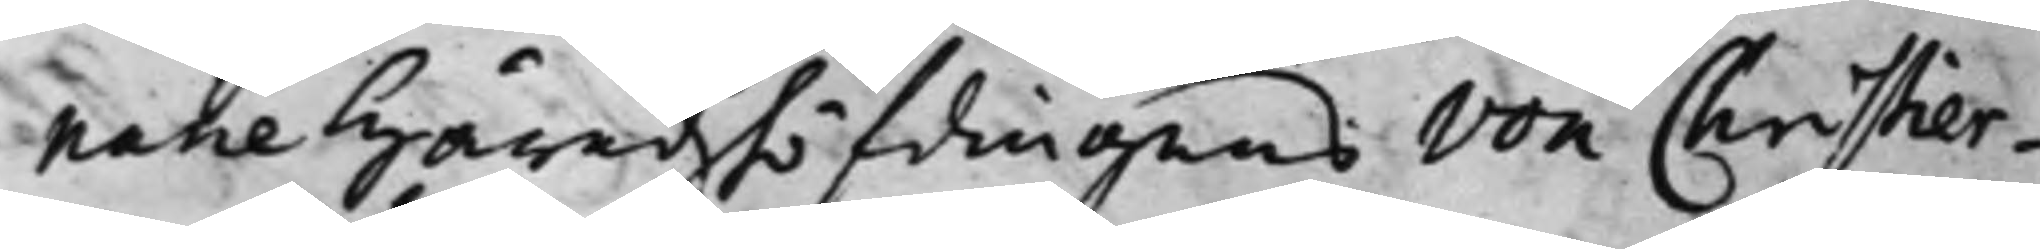narie Häradzhöfdingens von Christier¬
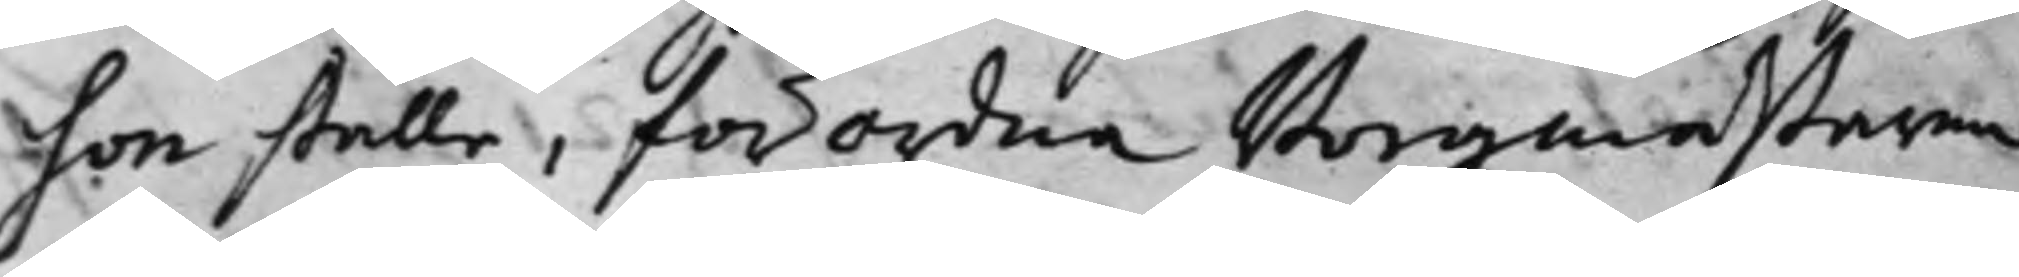son ställe, förordna Borgmestaren
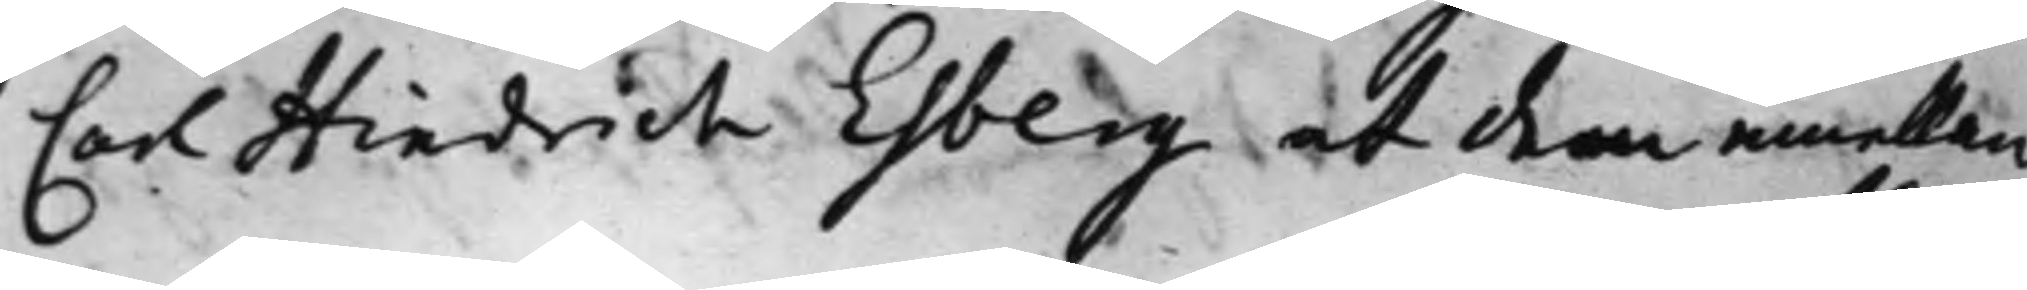Carl Hindrich Esberg at dem emellan
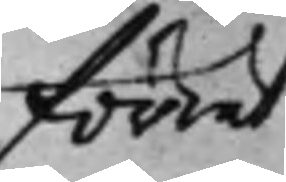förrät¬
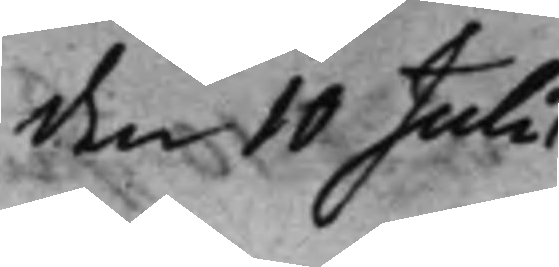den 10 Julii
